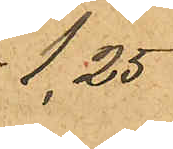1,25
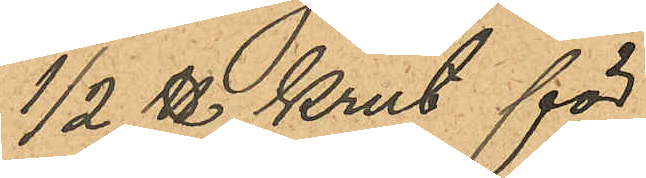1/2 ℔ krut för
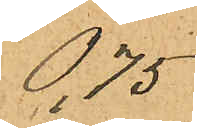0,75
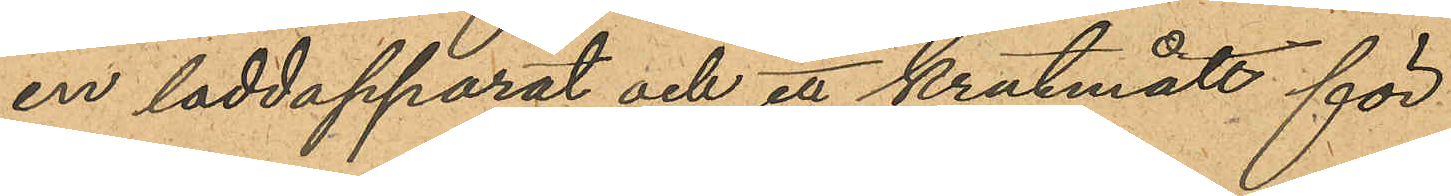en laddapparat och ett krutmått för
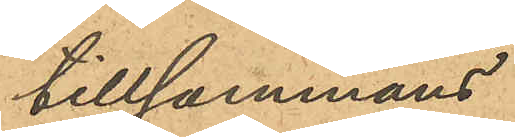tillsammans
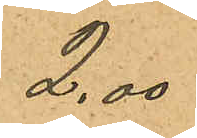2,00
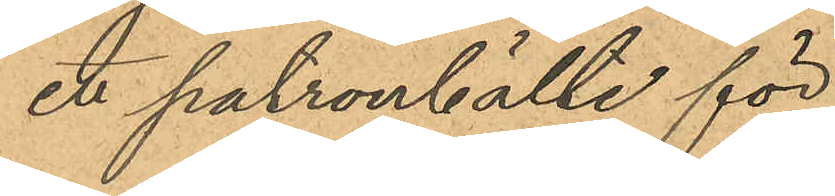ett patronbälte för
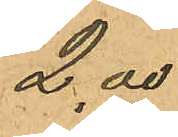2,00
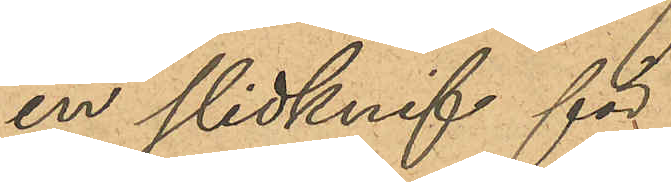en slidknif för
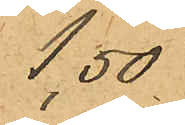1,50
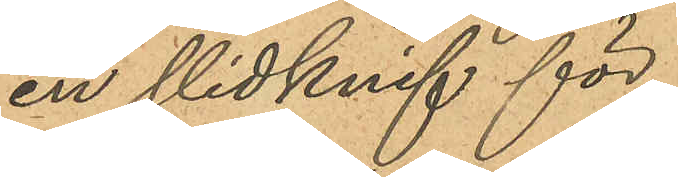en slidknif för
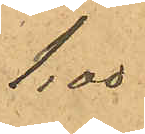1,00
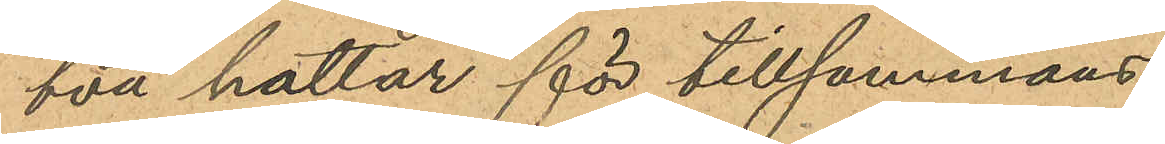två hattar för tillsammans
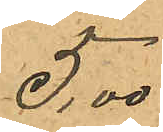5,00
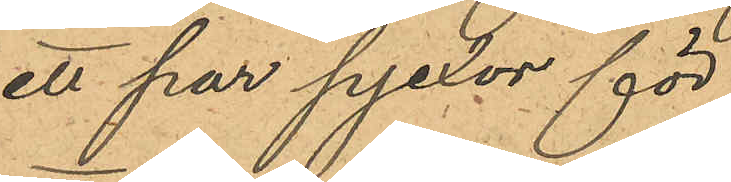ett par pjexor för
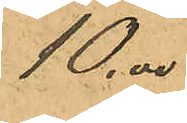10,00
